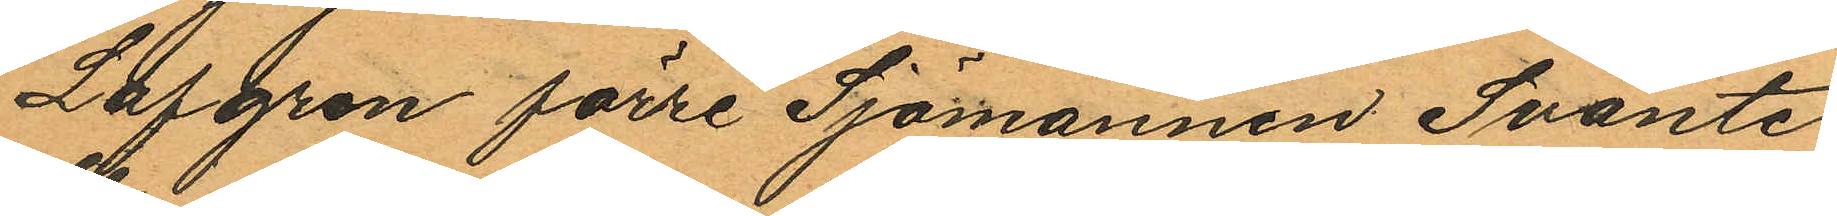Lofgren förre Sjömannen Svante
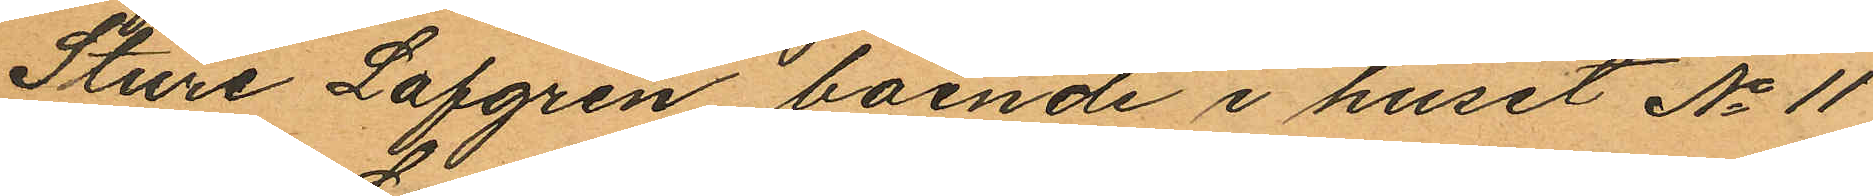Sture Lofgren boende i huset No 11
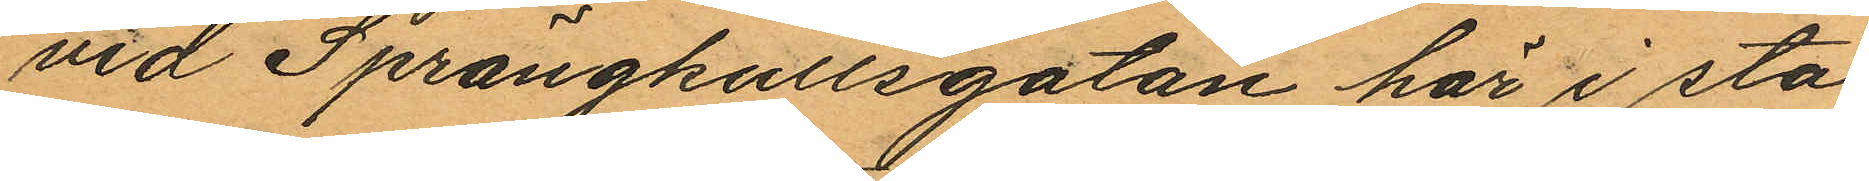vid Sprängkullsgatan här i sta¬
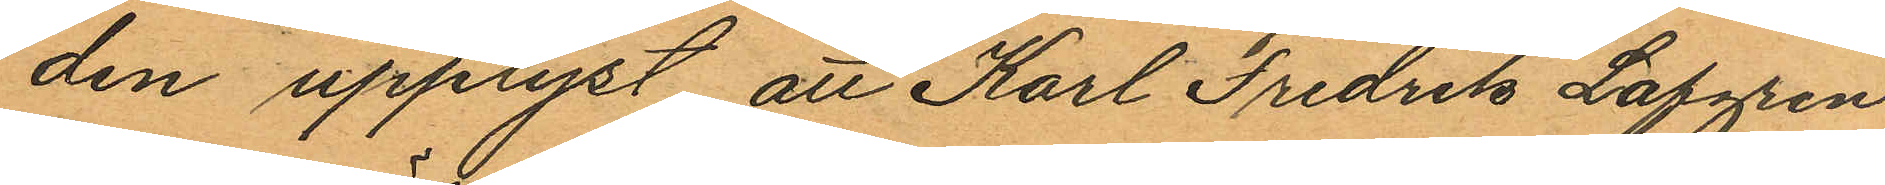den upplyst, att Karl Fredrik Lofgren
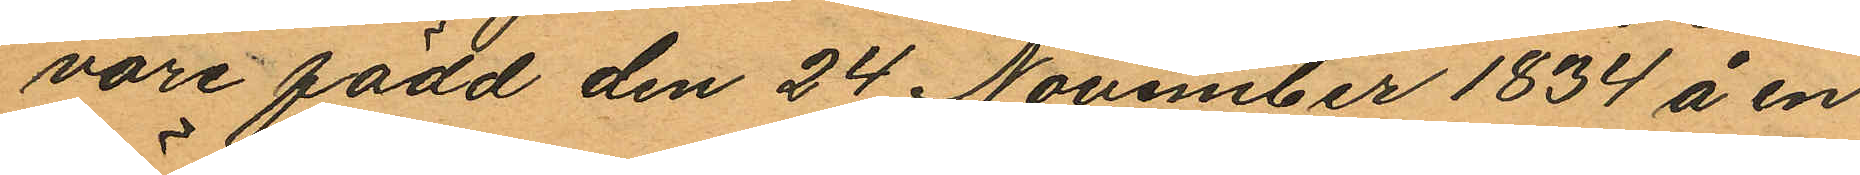vore född den 24 November 1834 å en
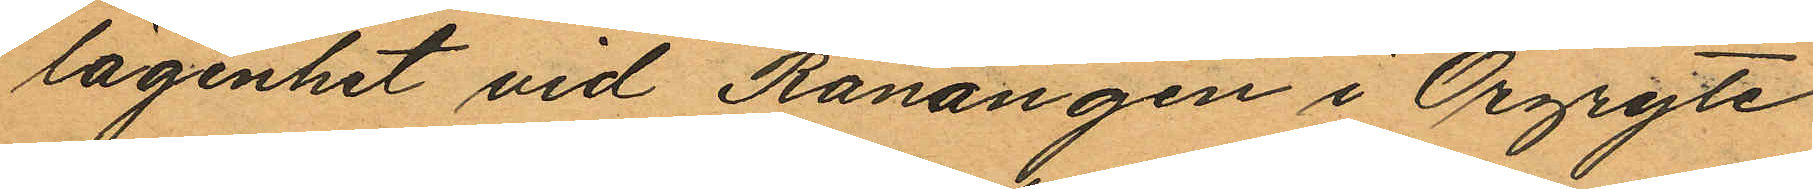lägenhet vid Ranängen i Örgryte
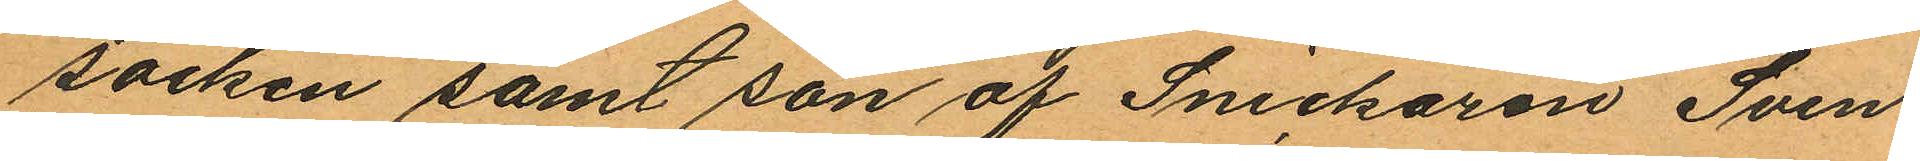socken samt son af Snickaren Sven
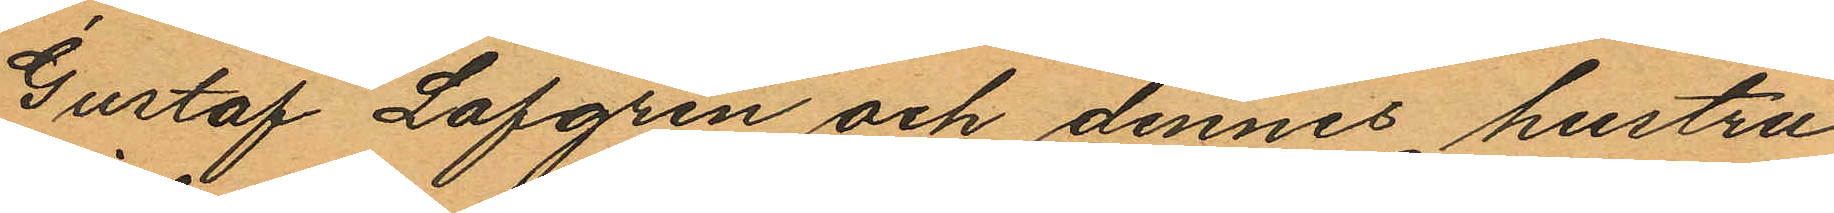Gustaf Lofgren och dennes hustru
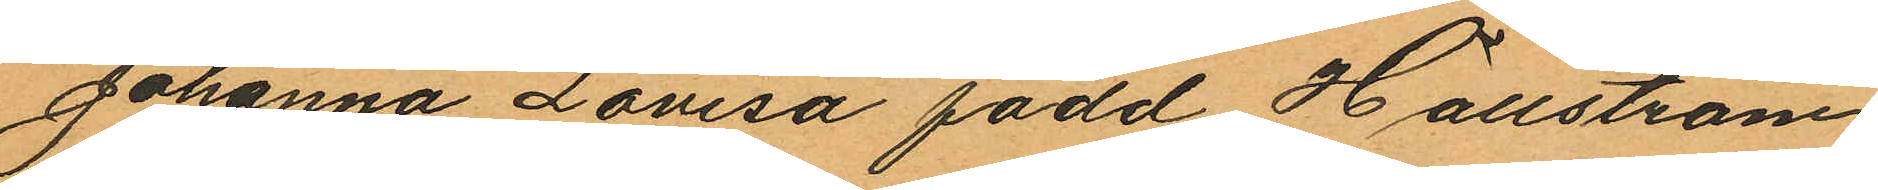Johanna Lovisa född Hällström
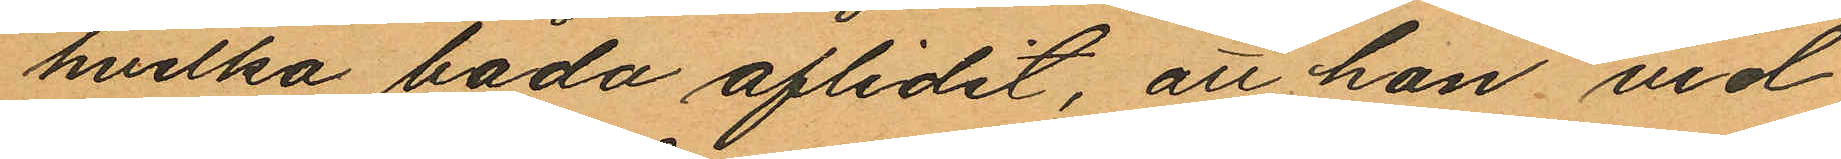hvilka båda aflidit, att han vid
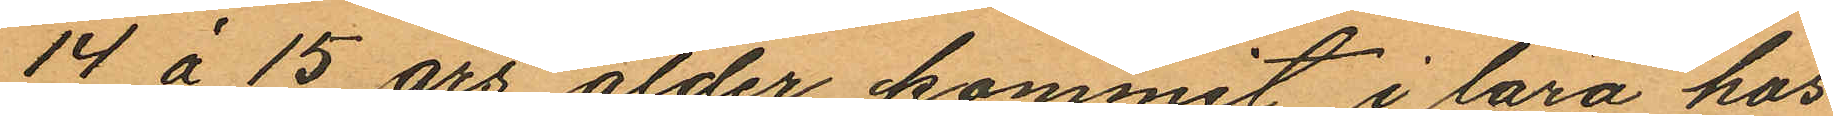14 á 15 års ålder kommit i lära hos
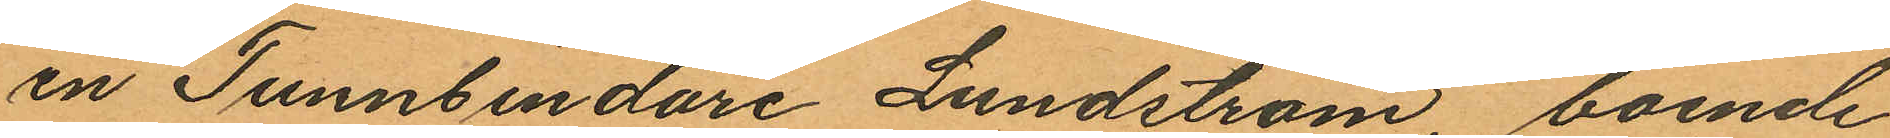en Tunnbindare Lundström, boende
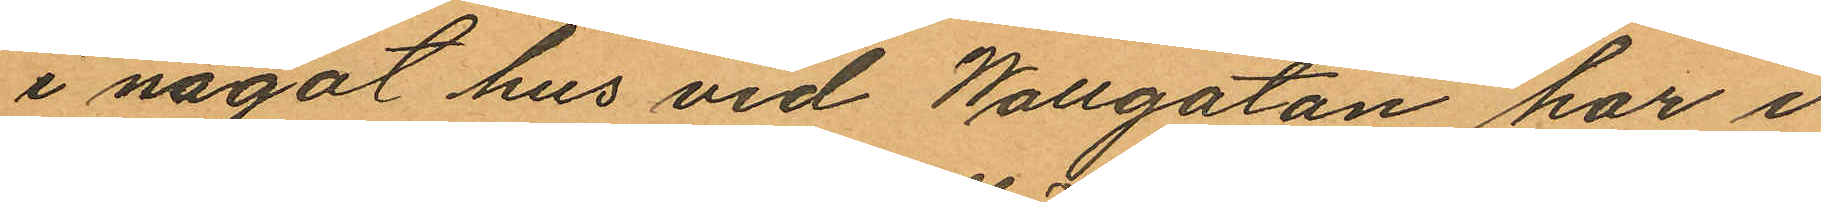i något hus vid Wallgatan har i
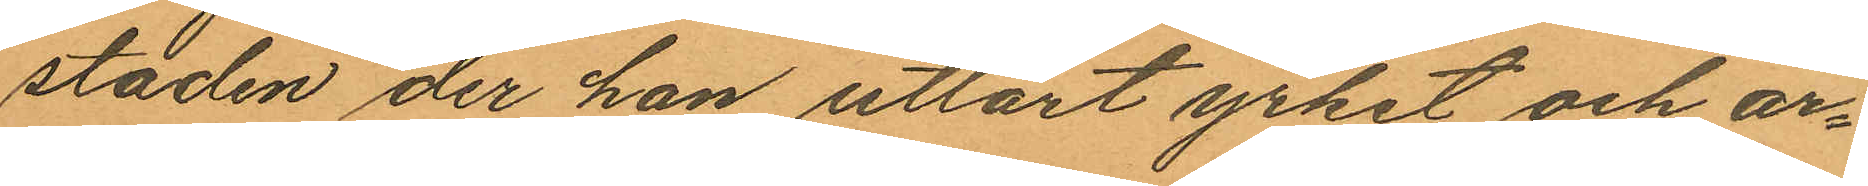staden der han utlärt yrket och ar¬
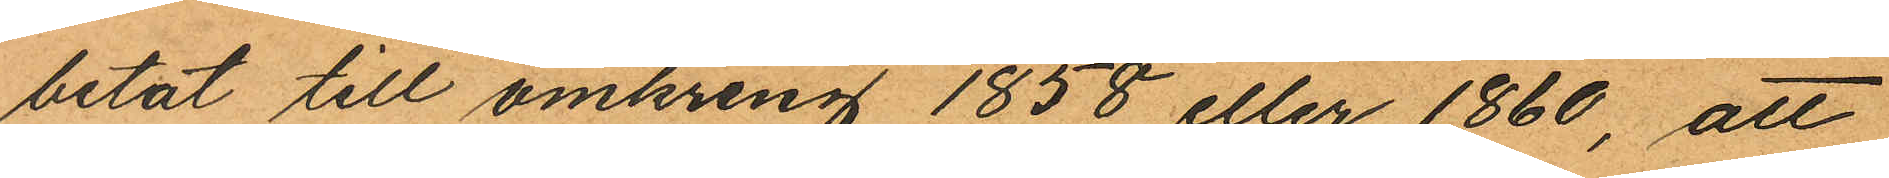betat till omkring 1858 eller 1860, att
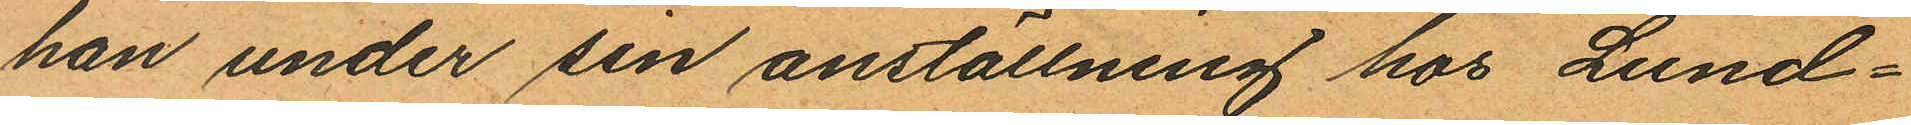han under sin anställning hos Lund¬
